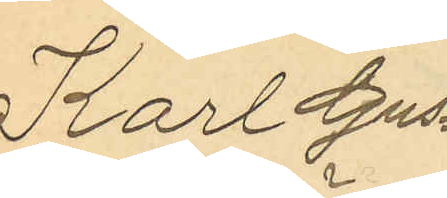Karl Gus¬
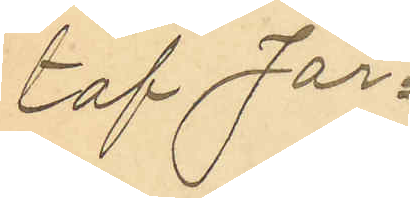taf Jör¬
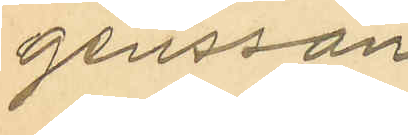gensson
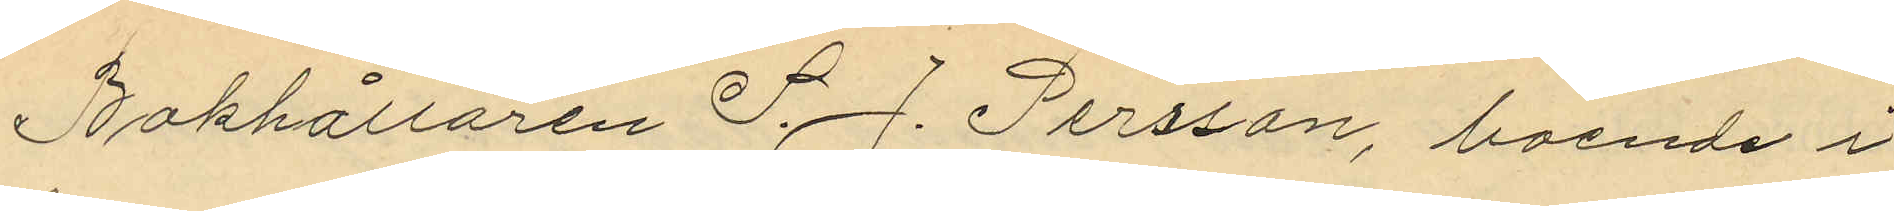Bokhållare S. J. Persson, boende i
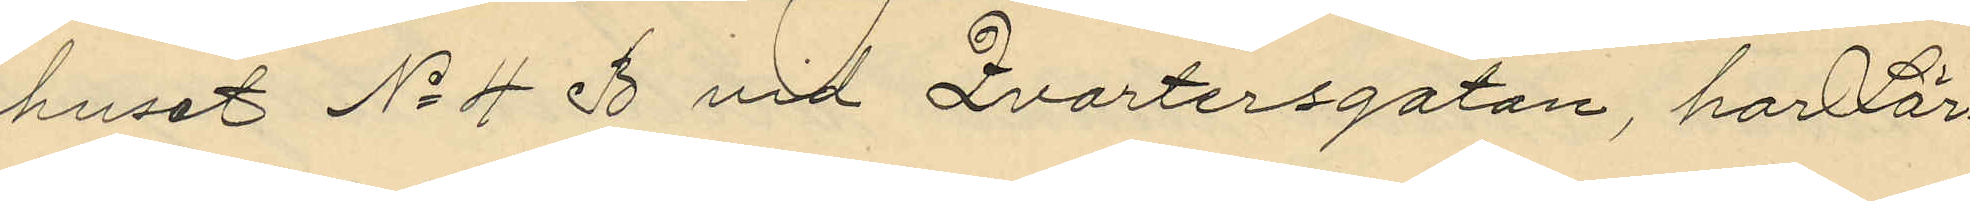huset No 4 B vid Qvartersgatan, har Lör¬
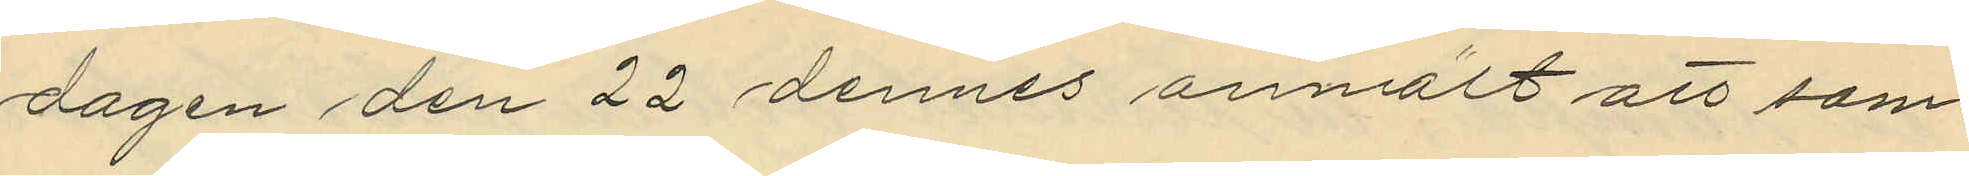dagen den 22 dennes anmält att sam¬
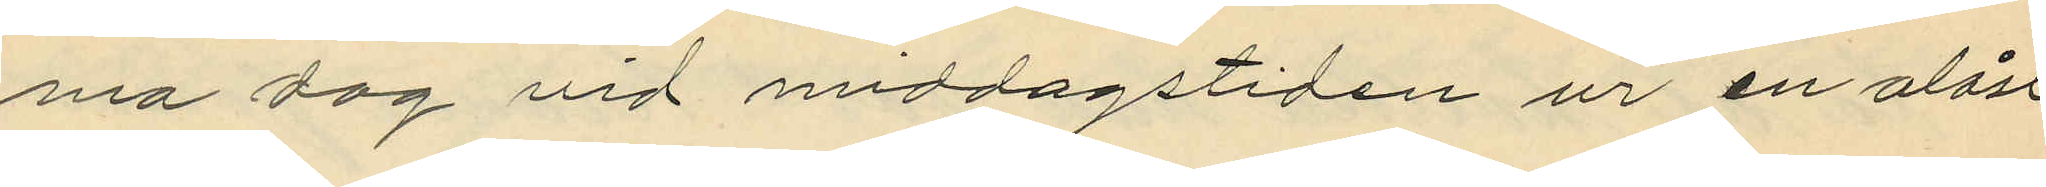ma dag vid middagstiden ur en olåst
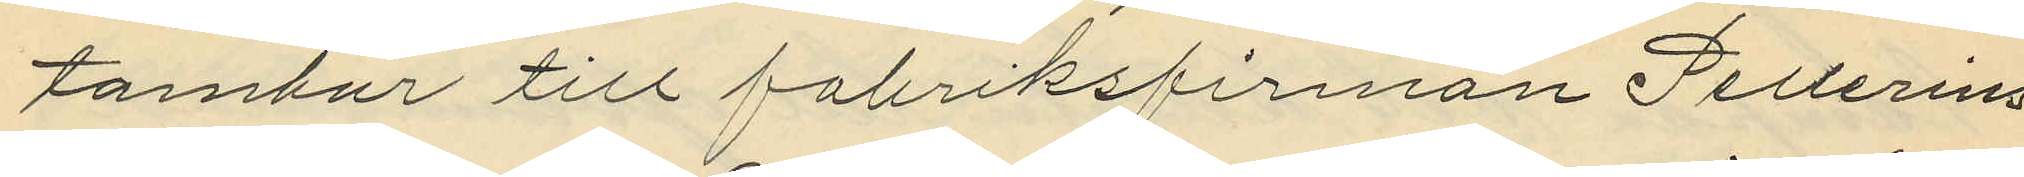tambur till fabriksfirman Pellerins
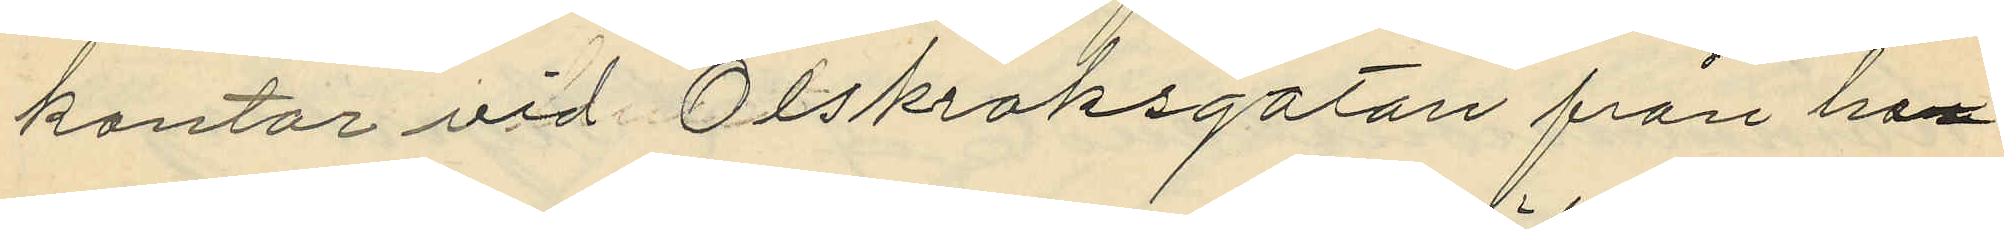kontor vid Olskroksgatan från ho¬
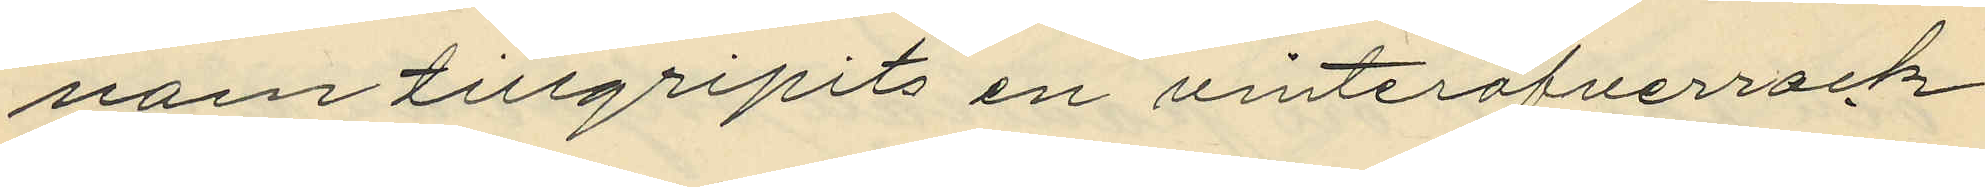nom tillgripits en vinteröfverrock
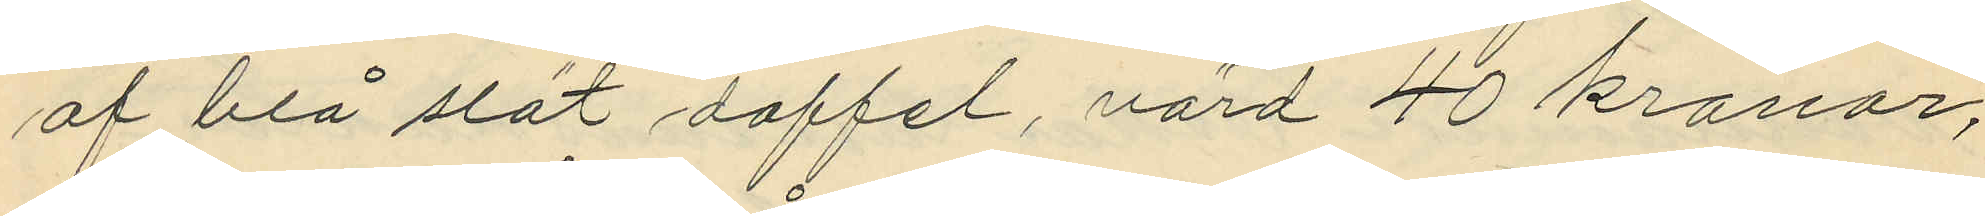af blå slät doffel, värd 40 kronor;
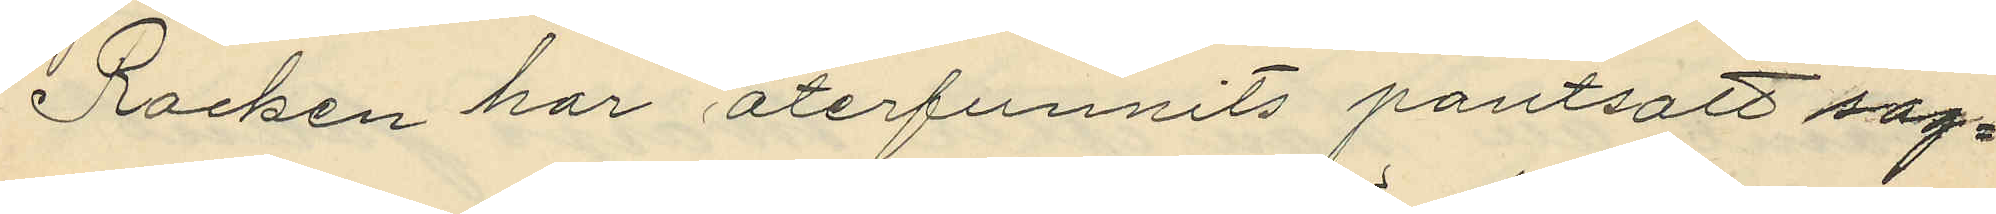Rocken har återfunnits pantsatt sag¬
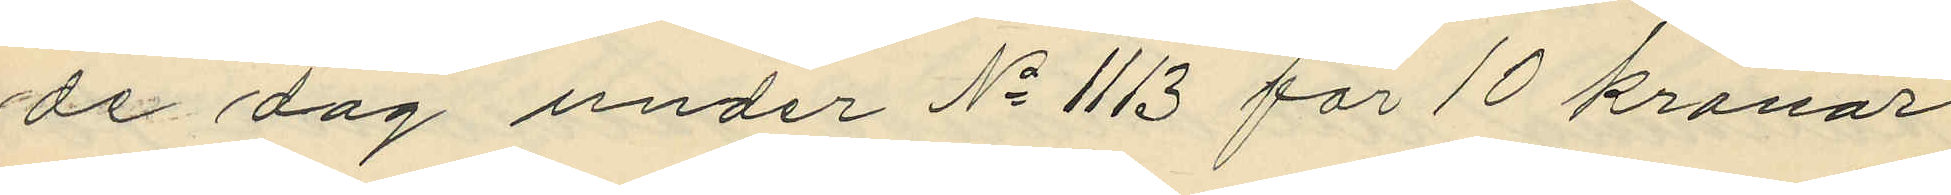de dag under No 1113 för 10 kronor
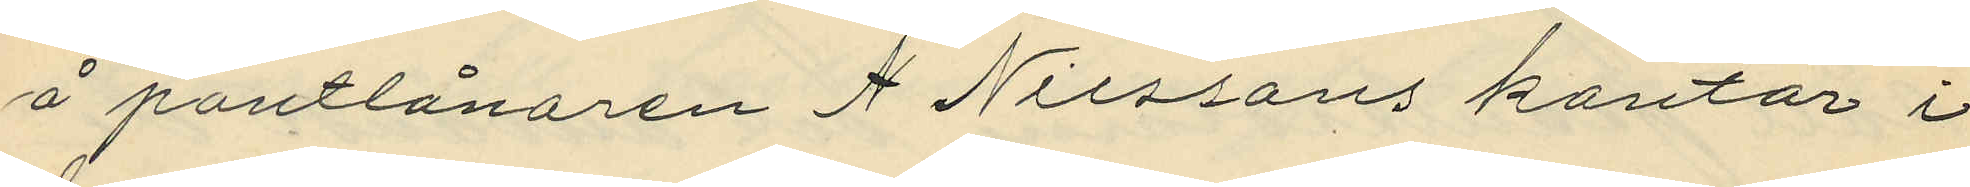å pantlånaren A Nilssons kontor i
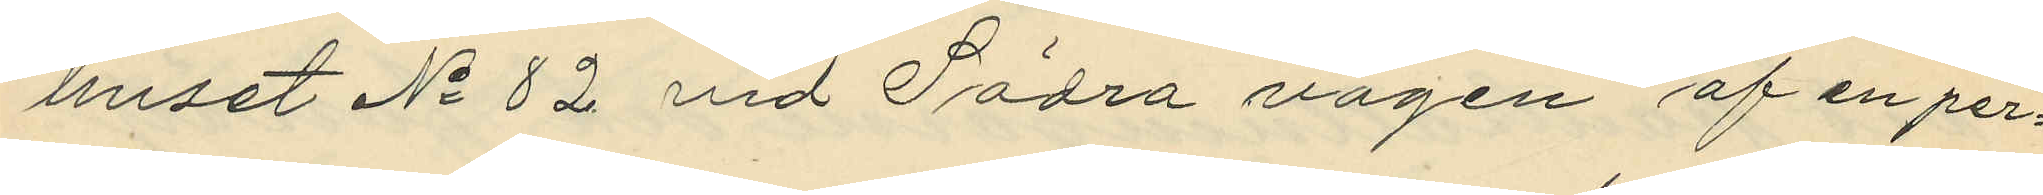huset No 82 vid Södra vägen af en per¬
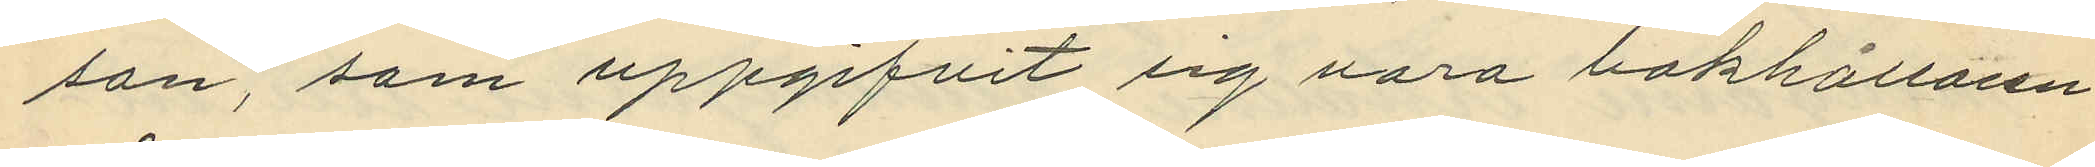son, som uppgifvit sig vara bokhållaren
